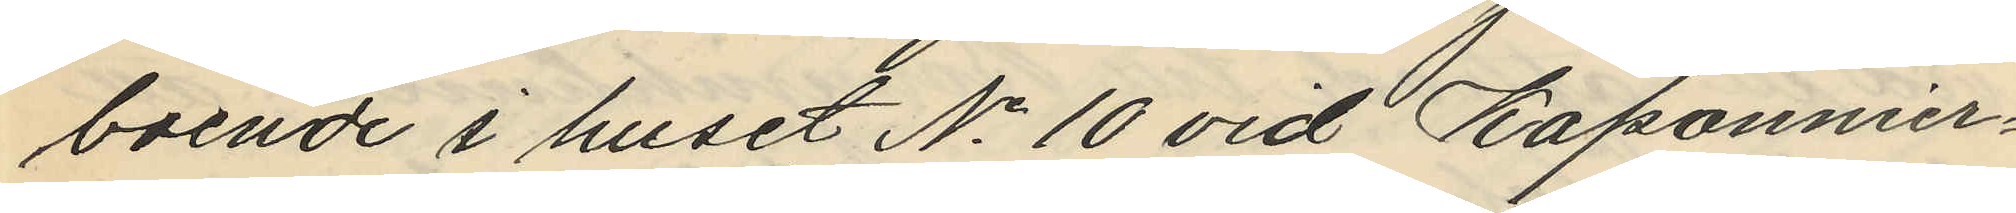boende i huset No 10 vid Kaponnier¬
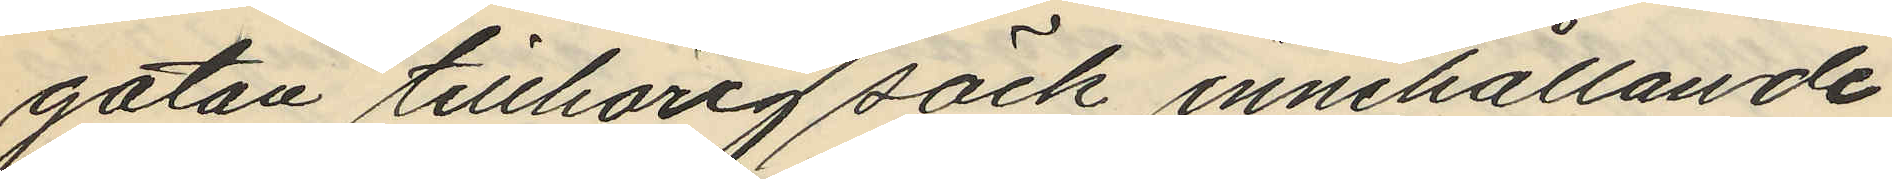gatan tillhörig säck innehållande
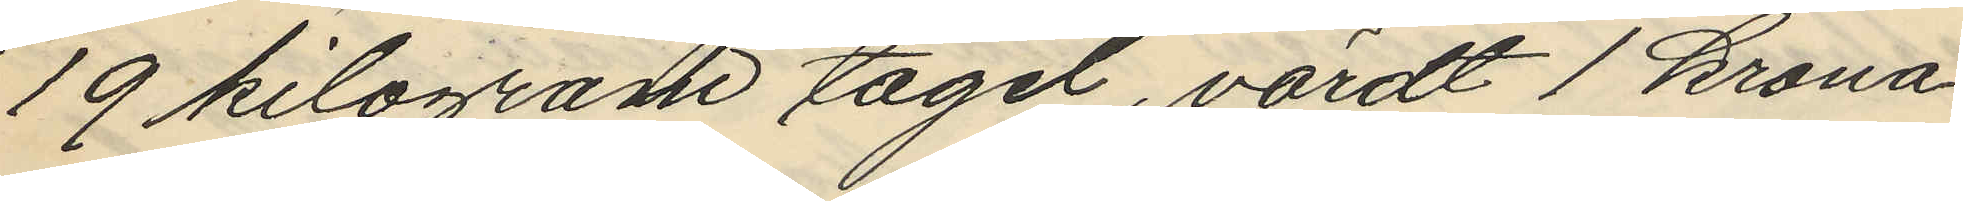19 kilogram tagel, värdt 1 krona
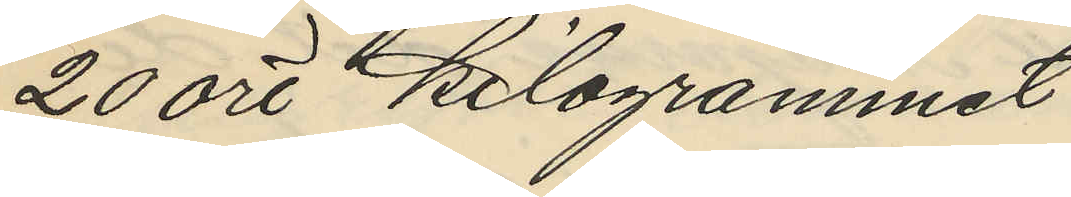20 öre kilogrammet
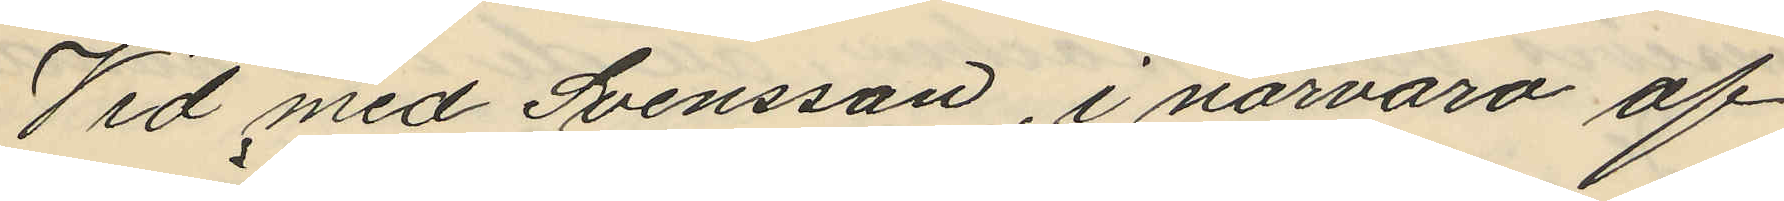Vid med Svensson, i närvaro af
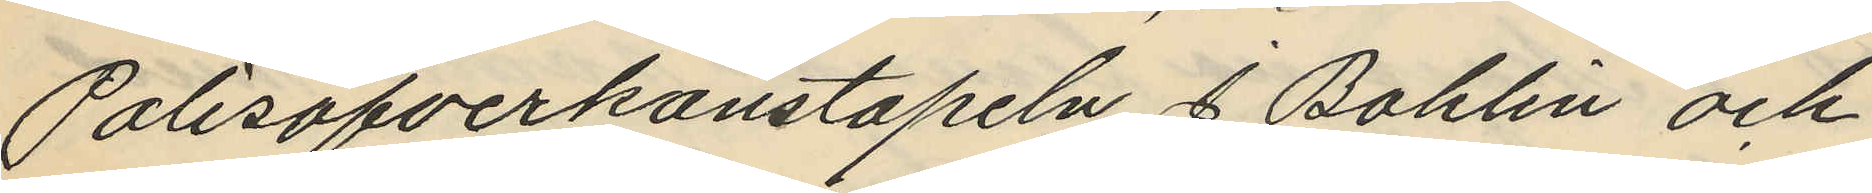Polisöfverkonstapeln J. Bohlin och
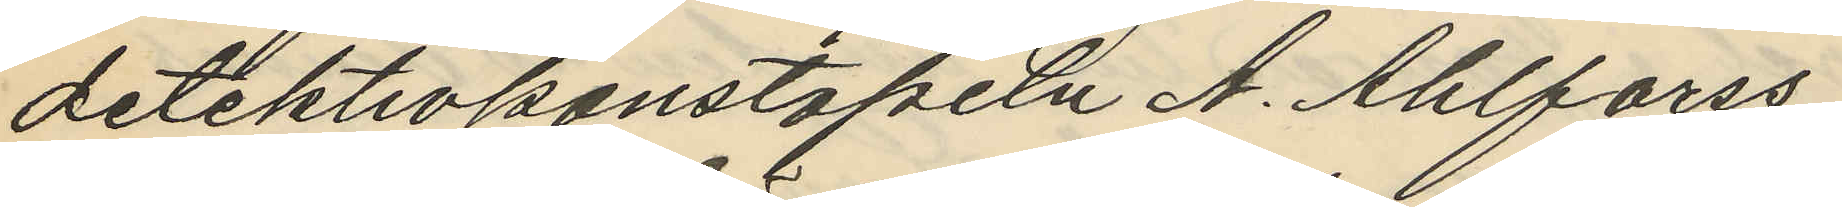detektivkonstapeln A. Ahlforss
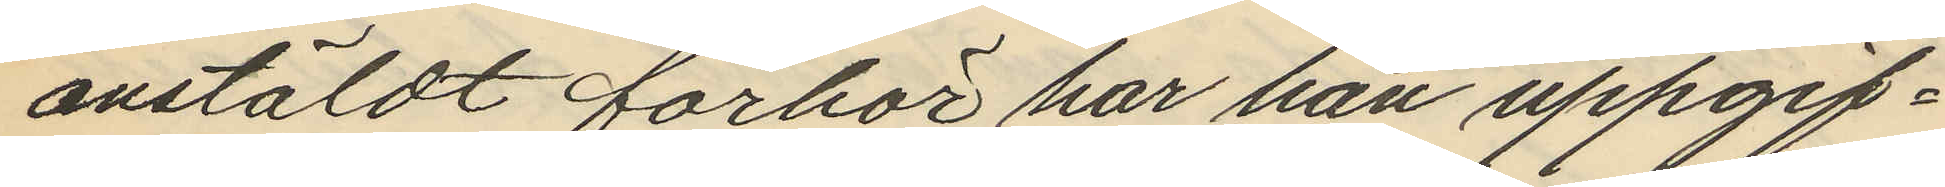anstäldt förhör har han uppgif¬
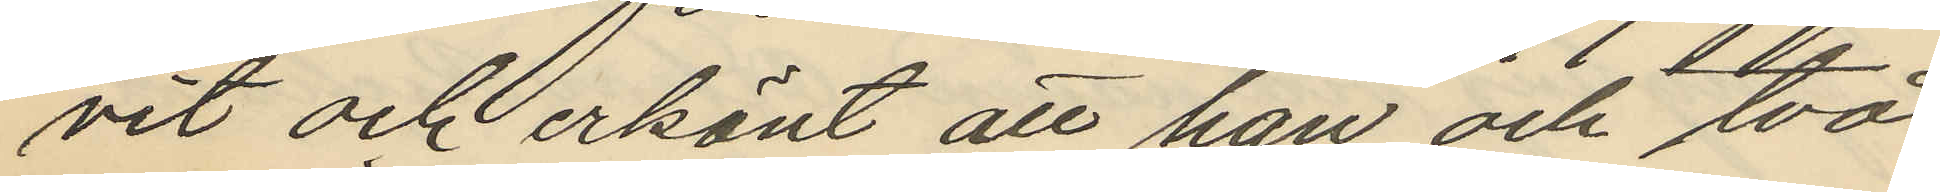vit och erkänt att han och två
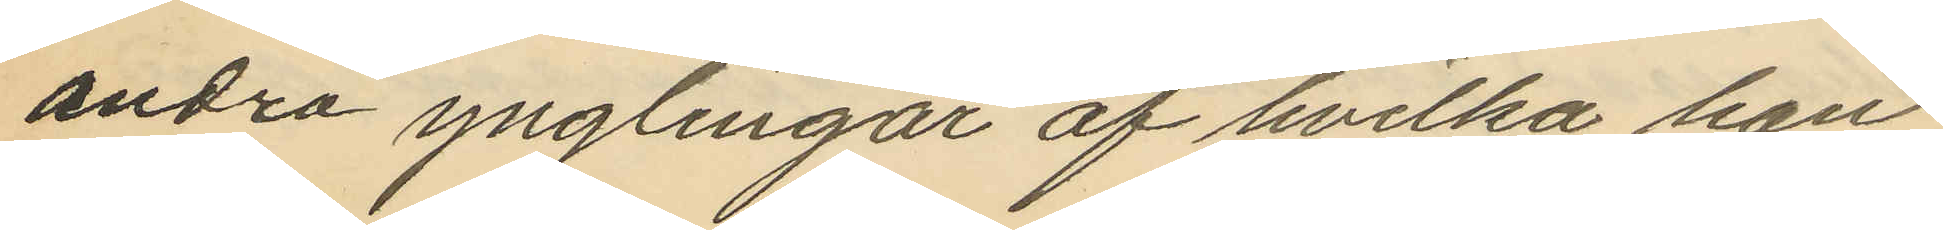andra ynglingar af hvilka han
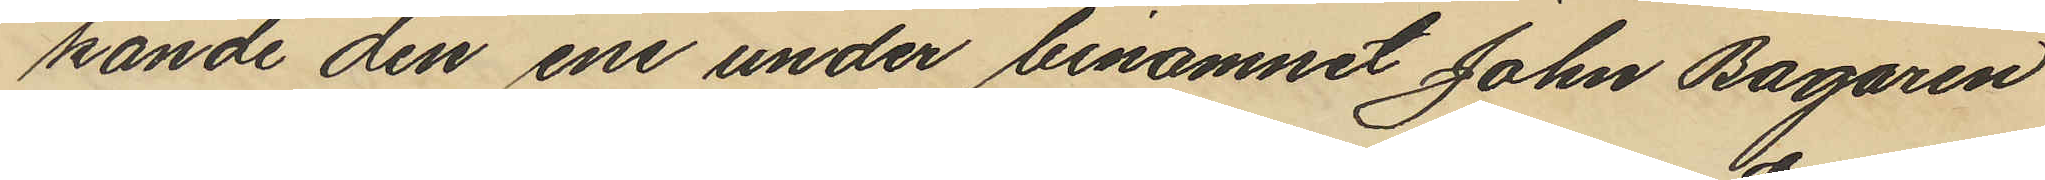kände den ene under binamnet John Bagaren
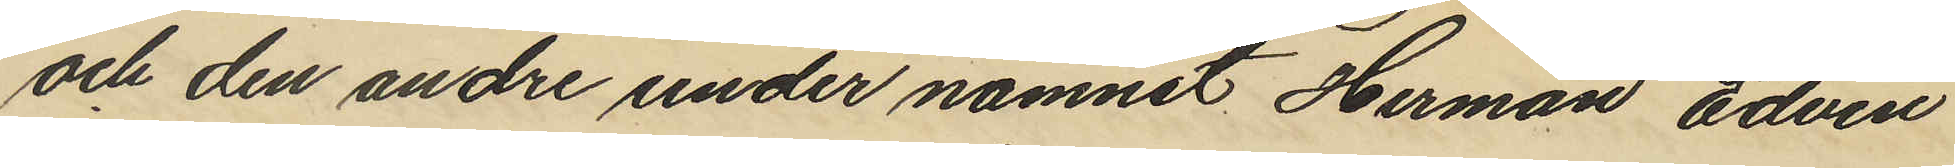och den andre under namnet Herman Edvin
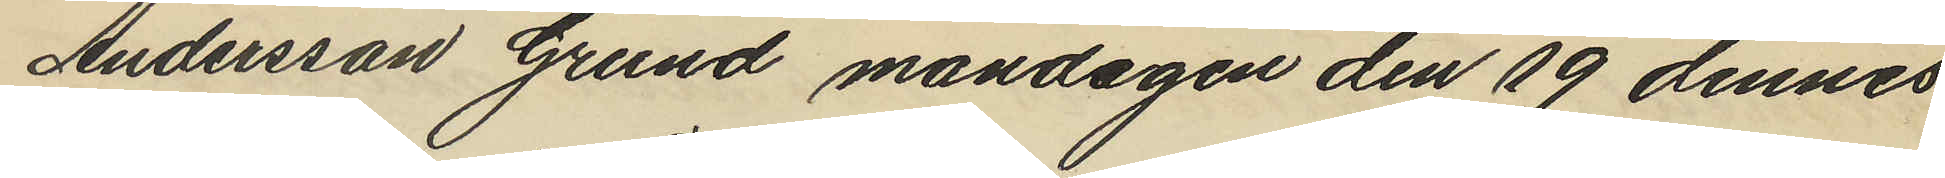Andersson Grund måndagen den 19 dennes
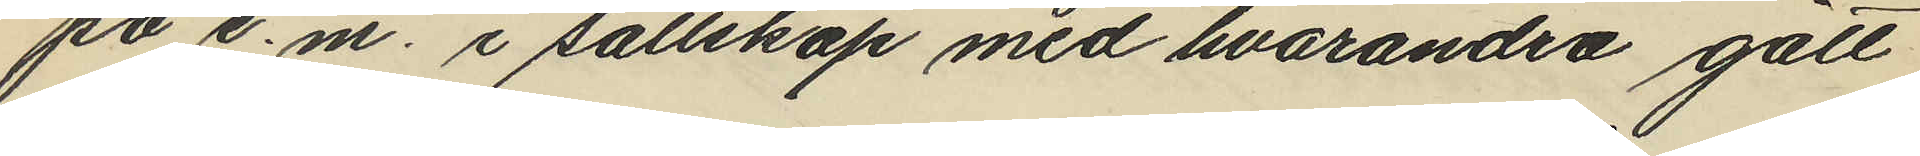på e.m. i sällskap med hvarandra gått
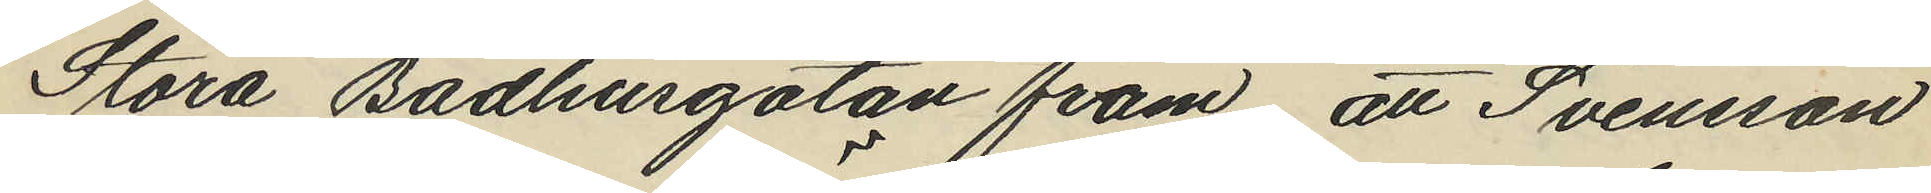Stora Badhusgatan fram att Svensson
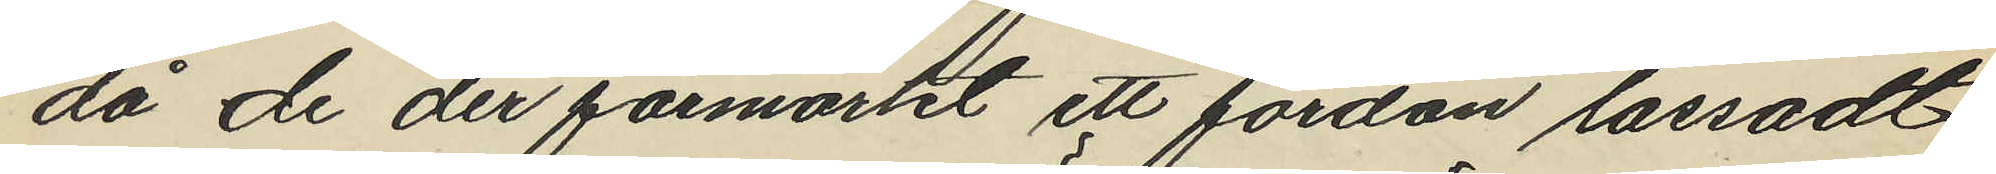då de der förmärkt ett fordon lassadt
